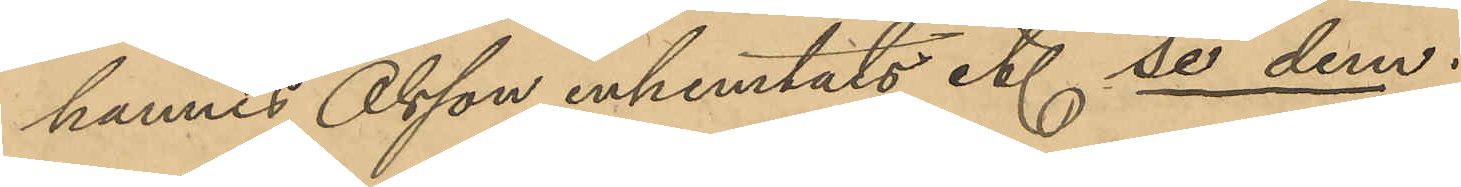hannes Olsson inhemtats et. se dem.
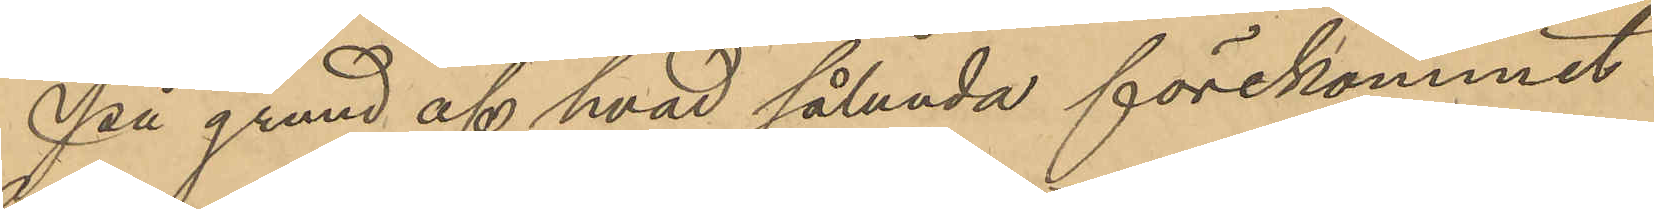På grund af hvad sålunda förekommit
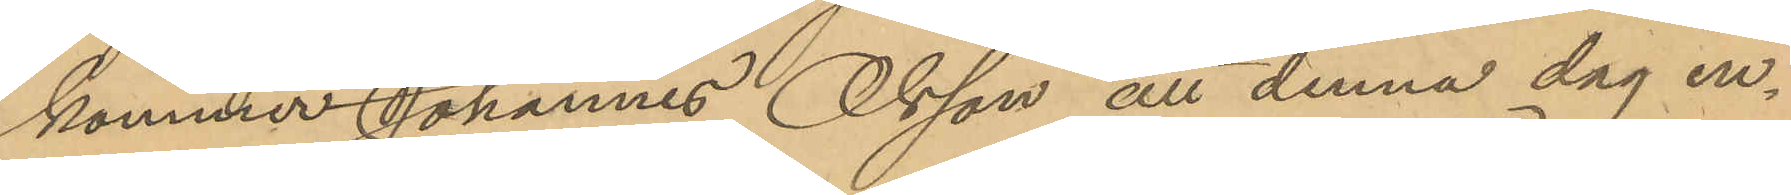kommer Johannes Olsson att denna dag in¬
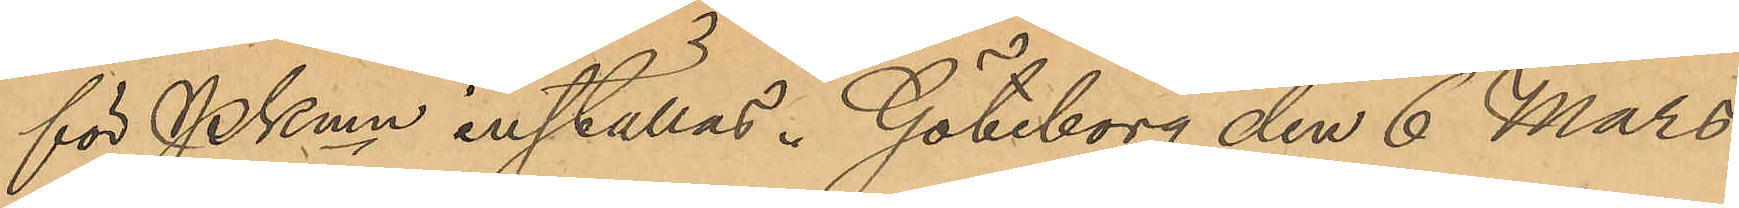för PKmn inställas. Göteborg den 6 Mars
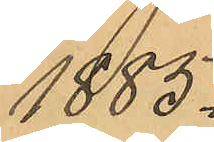1885.
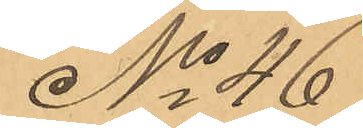No 46
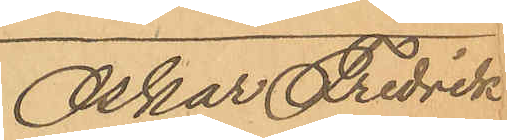Oskar Fredrik
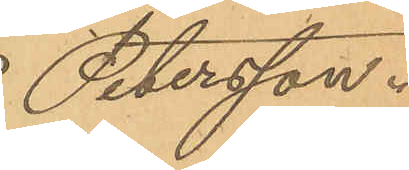Petersson.
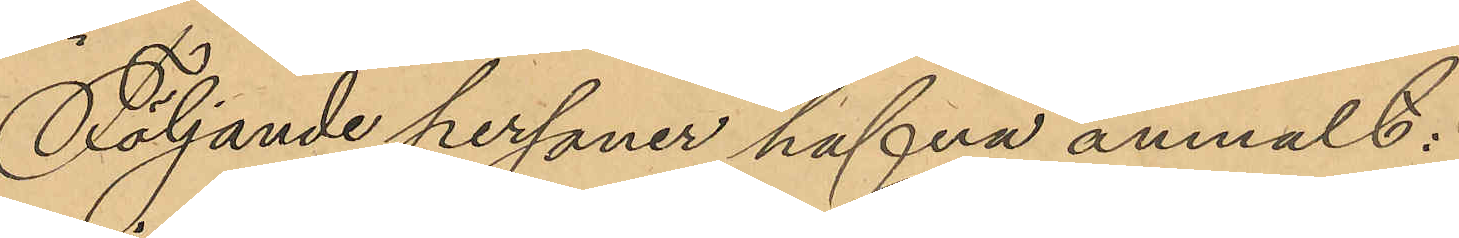Följande personer hafva anmält:
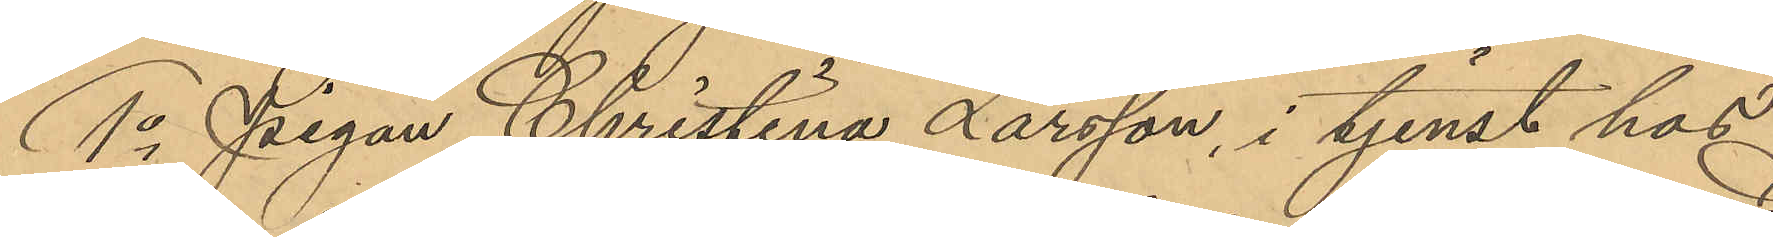1o Pigan Christina Larsson, i tjenst hos
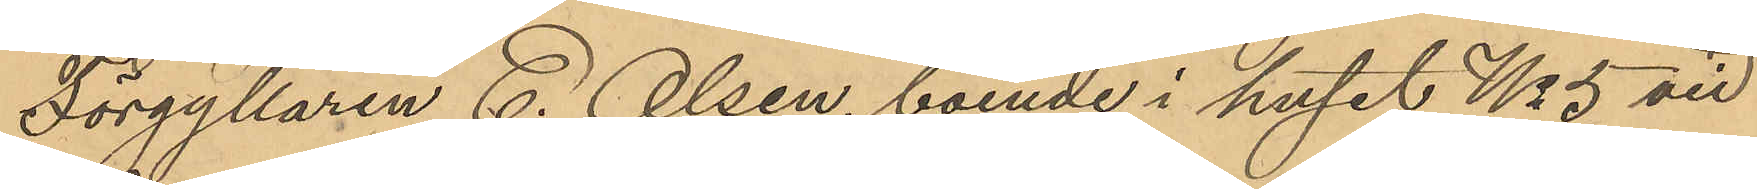Förgyllaren C. Olsen, boende i huset No 5 vid
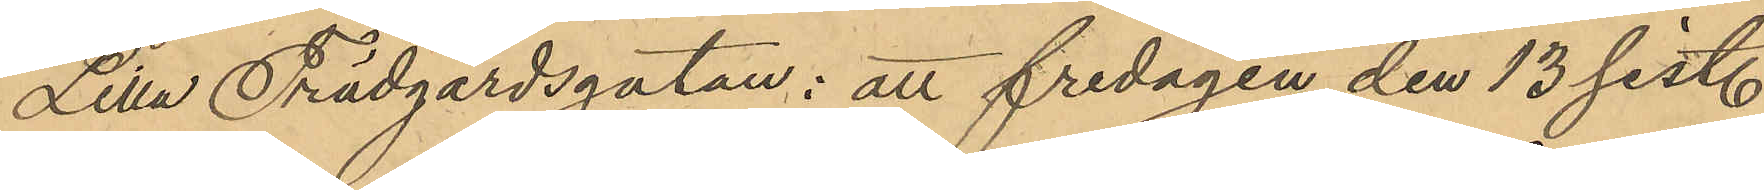Lilla Trädgårdsgatan; att fredagen den 13 sist.
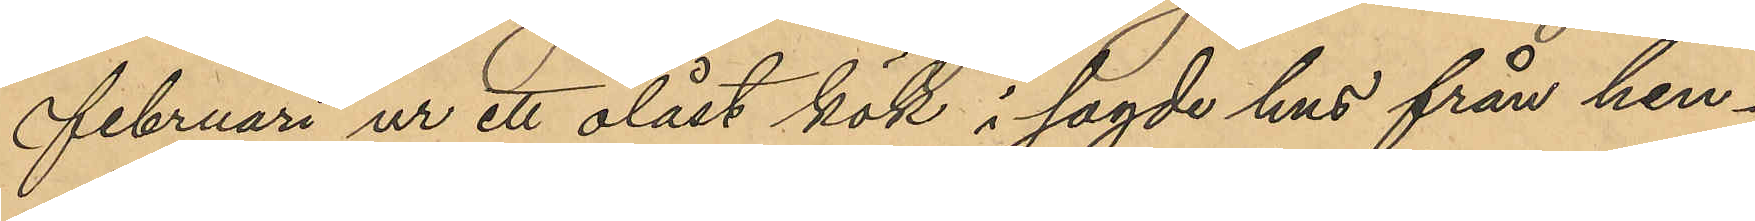Februari ur ett olåst kök i sagde hus från hen¬
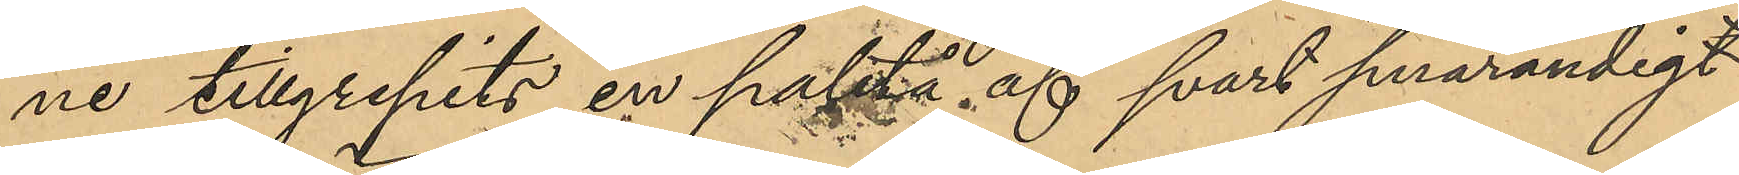ne tillgripits en paletå af svart smårandigt
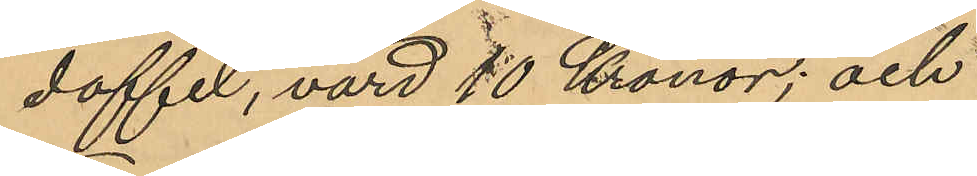doffel, värd 10 Kronor; och
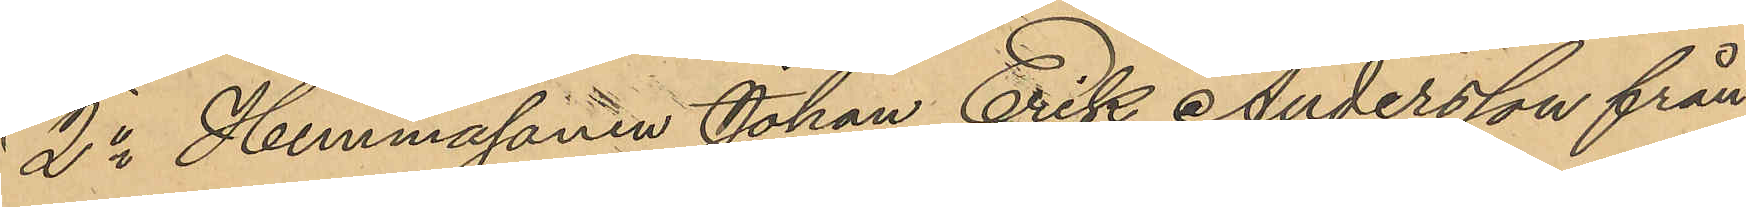2o Hemmasonen Johan Erik Andersson från
